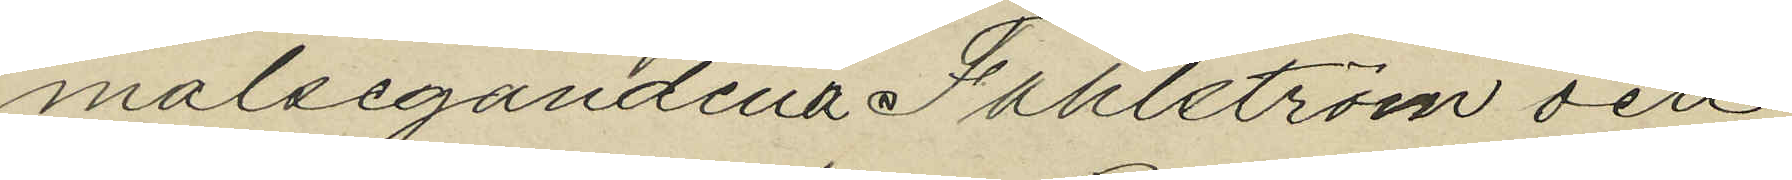målsegandena Dahlström och
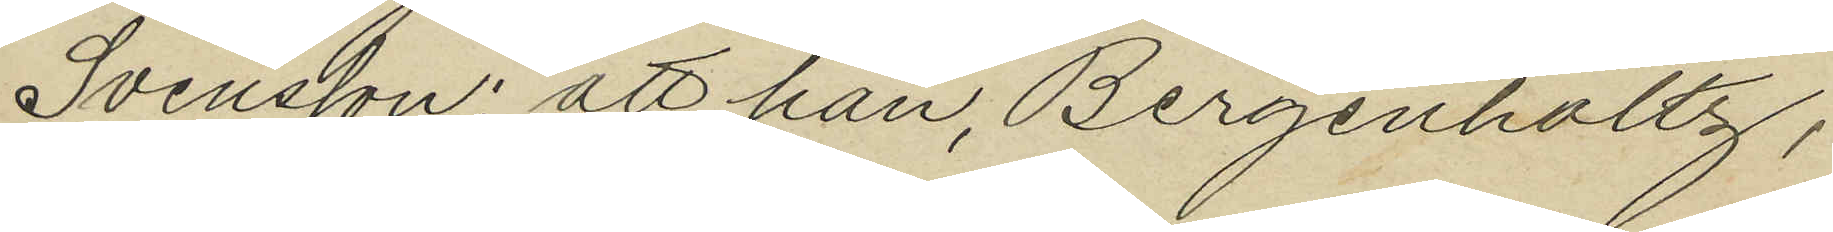Svensson: att han, Bergenholtz,
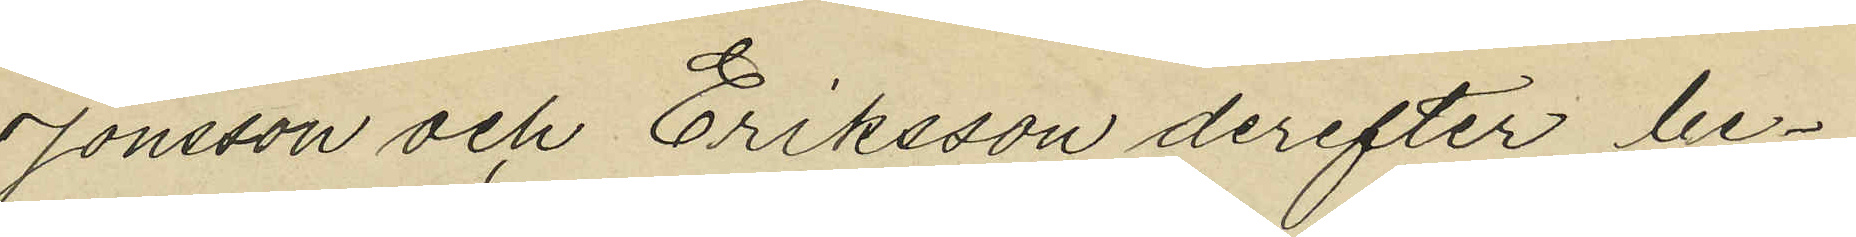Jonsson och Eriksson derefter be¬
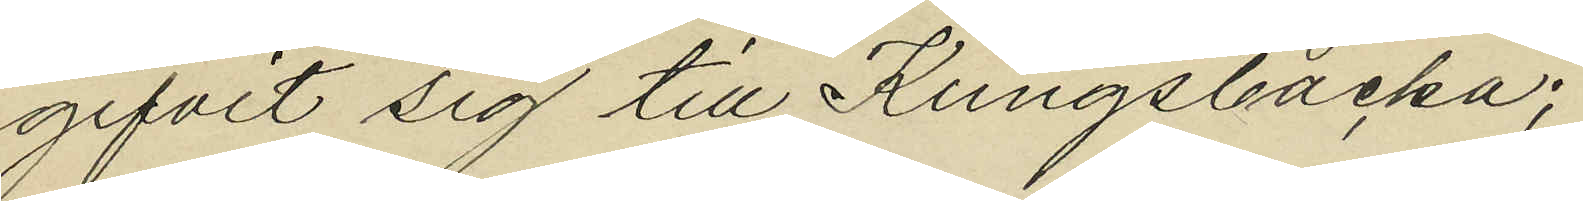gifvit sig till Kungsbacka;
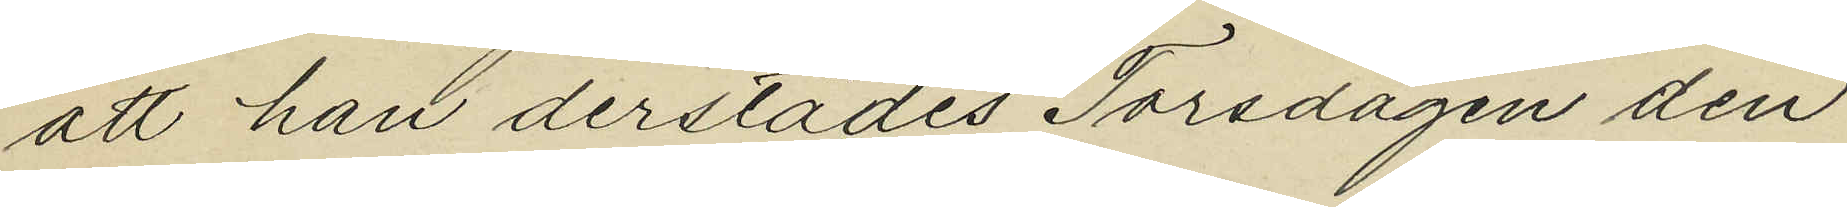att han derstädes Torsdagen den
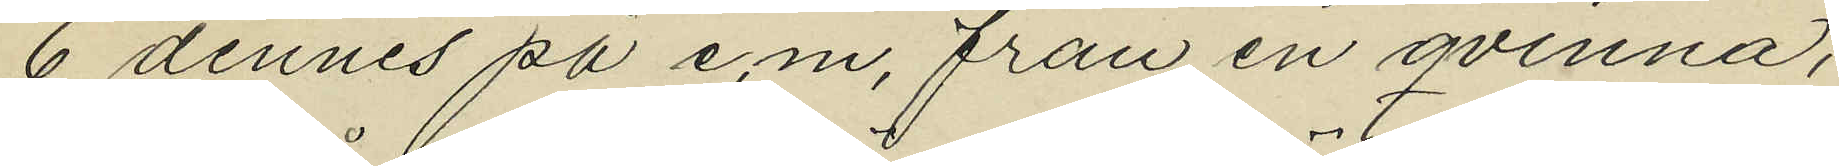6 dennes på e.m. från en qvinna,
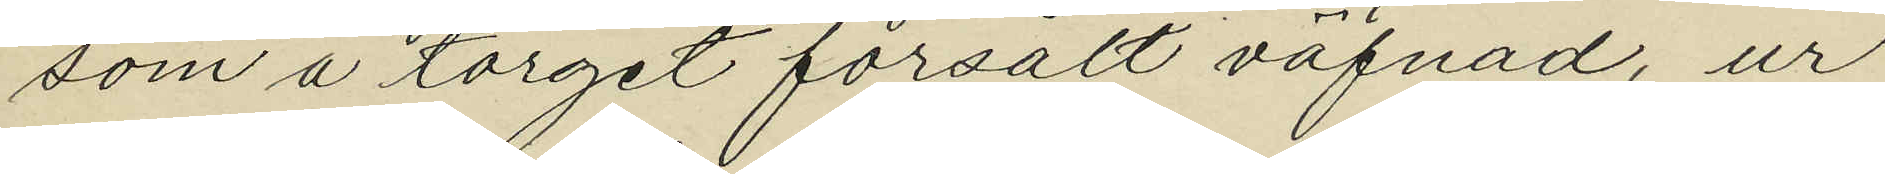som å torget försålt väfnad, ur
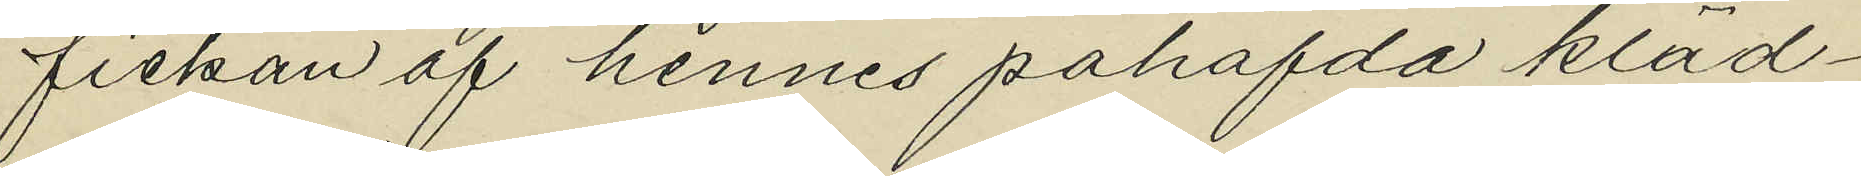fickan af hennes påhafda kläd¬
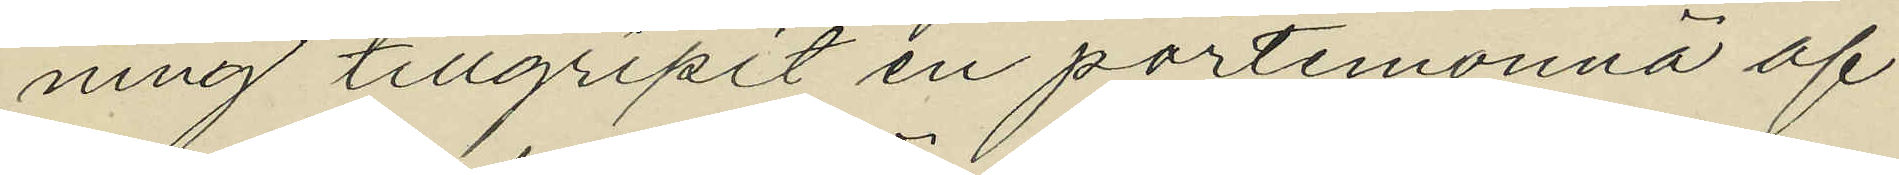ning tillgripit en portmonnä af
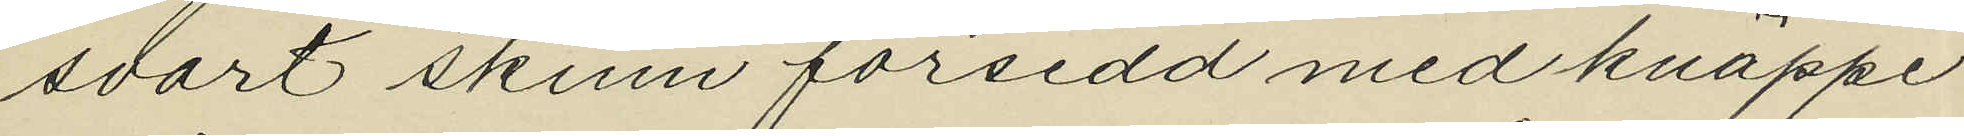svart skinn försedd med knäppe
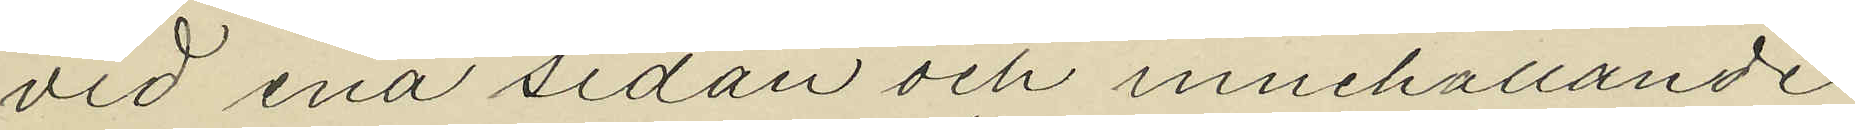vid ena sidan och innehållande
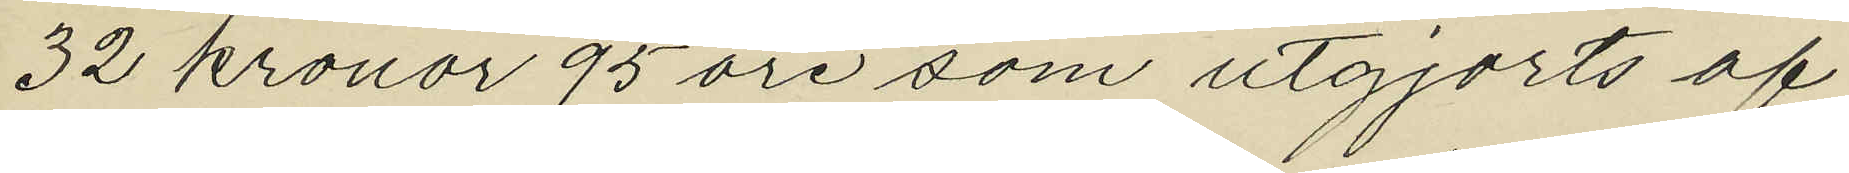32 kronor 95 öre som utgjorts af
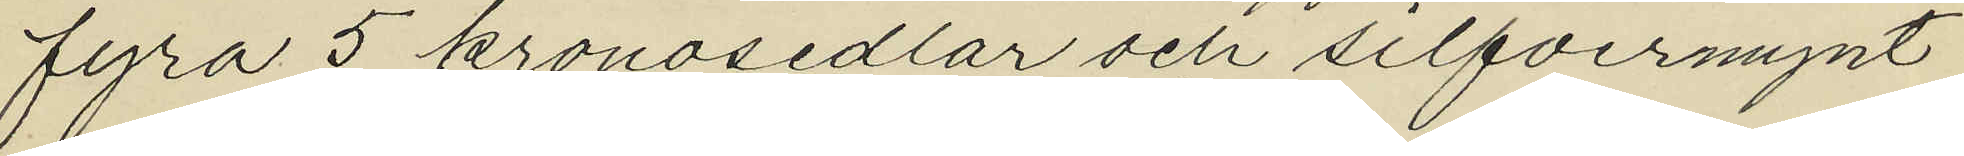fyra 5 kronosedlar och silfvermynt
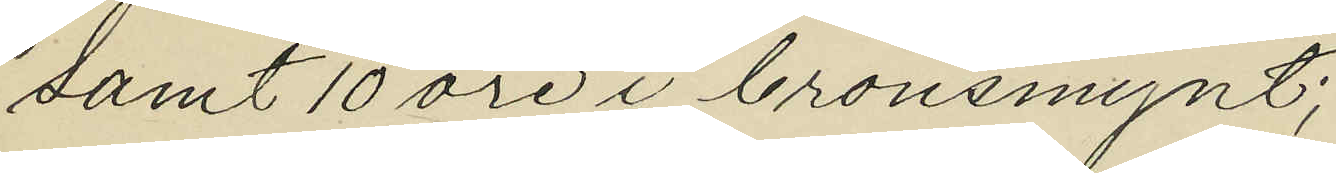samt 10 öre i bronsmynt;
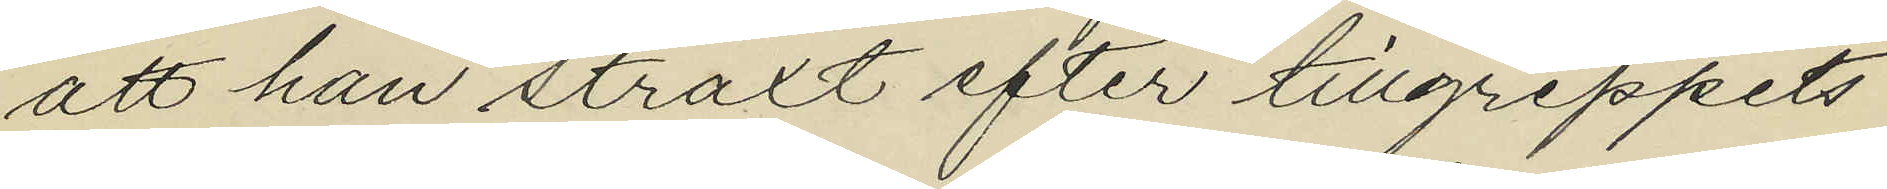att han straxt efter tillgreppets
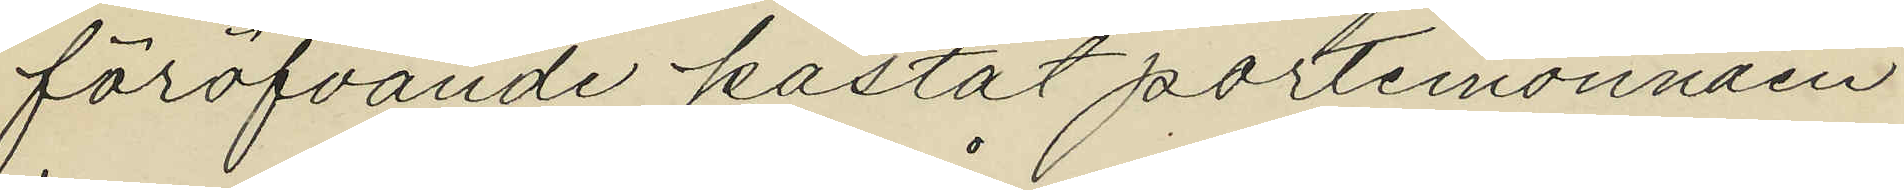föröfvande kastat portmonnäen
